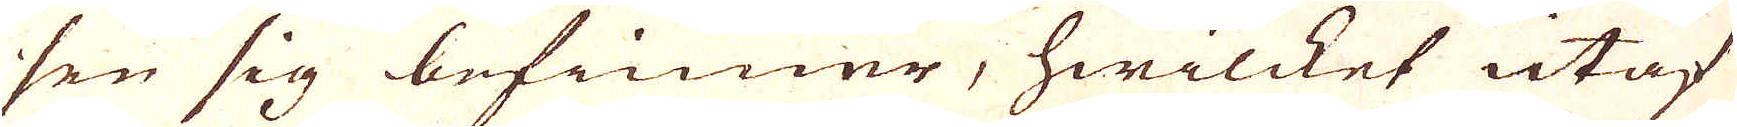sen sig befinner, hwilcket utaf
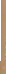det kräfwer med kohl på Rosten till-
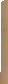brander och deraf till det högsta 180
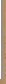Centner deruti till 100 ufr Silfwer
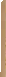tillika med 100 Centner 3 eller 4 gånger
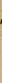råstad, renskild 5 til 6 lödig glanhErit
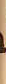darnti några och 30 v Sillfwer til et
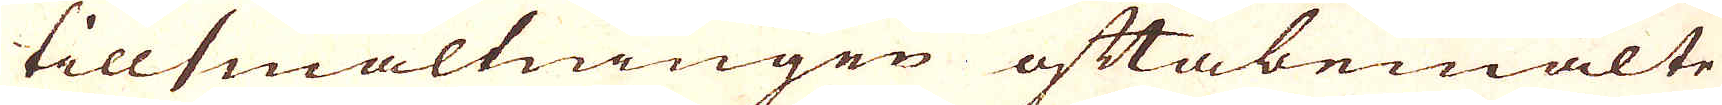tillsmältningen oftabemälte
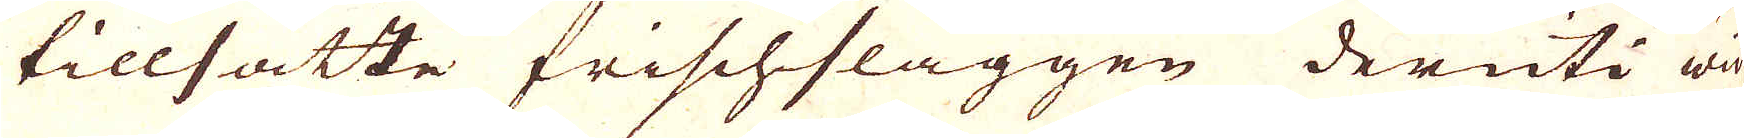tillsatte frischslaggen deruti wid
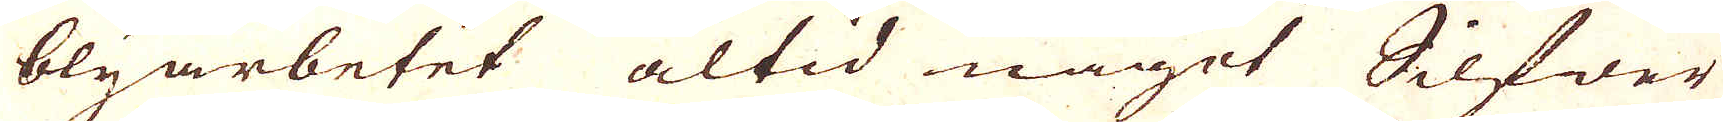blyarbetet altid något Silfwer
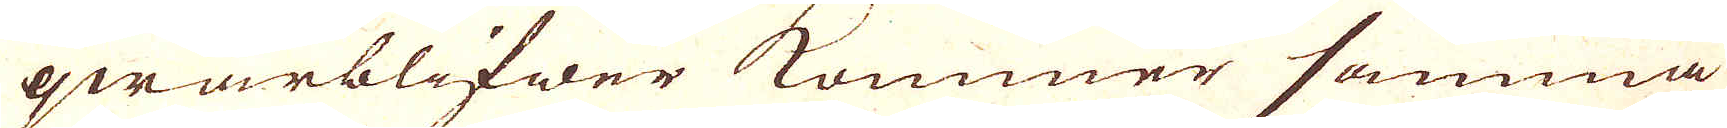qwarblifwer kommer samma
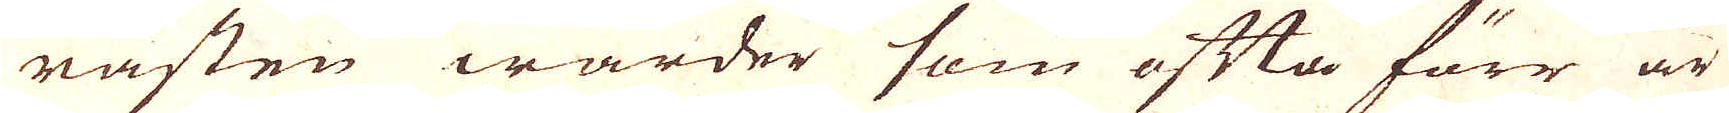råsten warder som ofta förr är
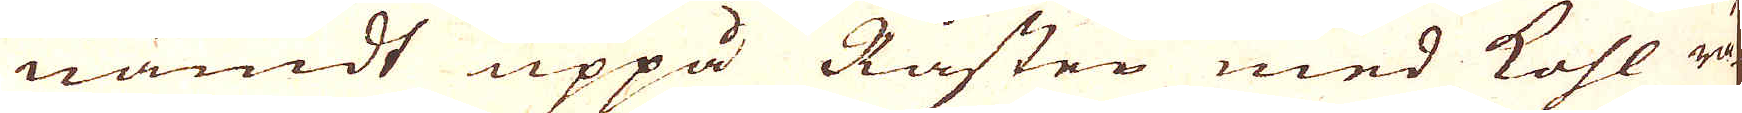nämdt uppå Råsten med kohl rå-
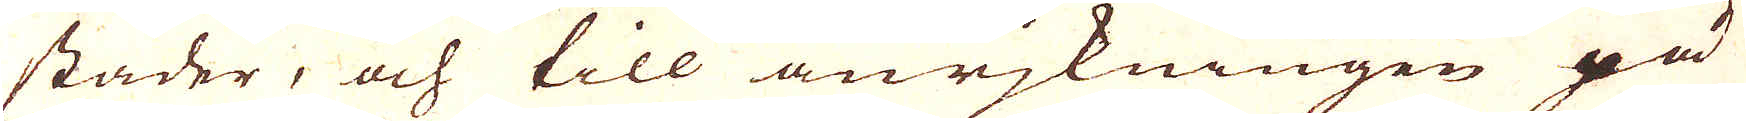stader, och till anrjkningen på
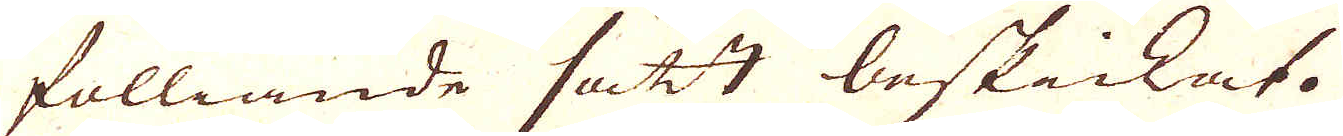fölliande sätt beskickat.
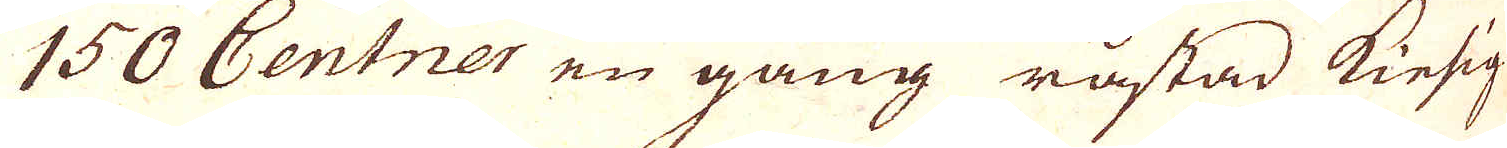150 Centner en gång råstad Kiesig
